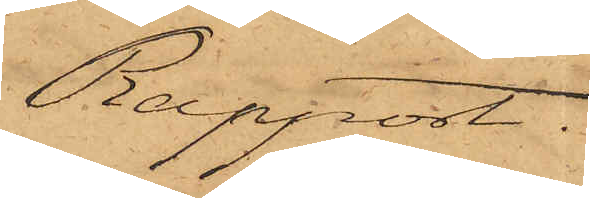Rapport.
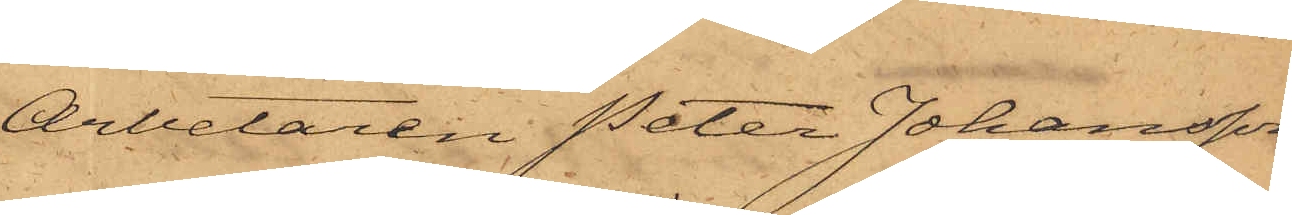Arbetaren Peter Johansson,
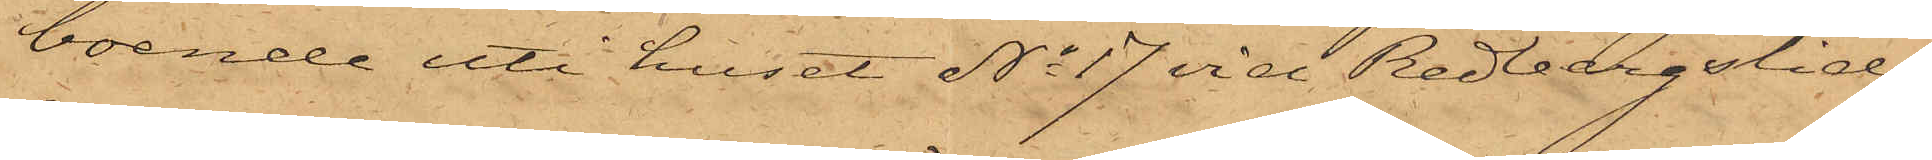boende uti huset No 17 vid Redbergslid,
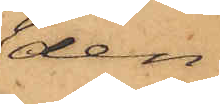den
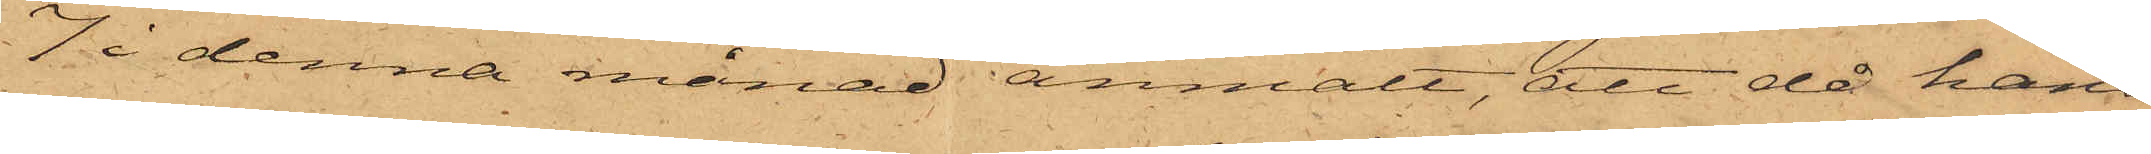7 i denna månad anmält, att då hans
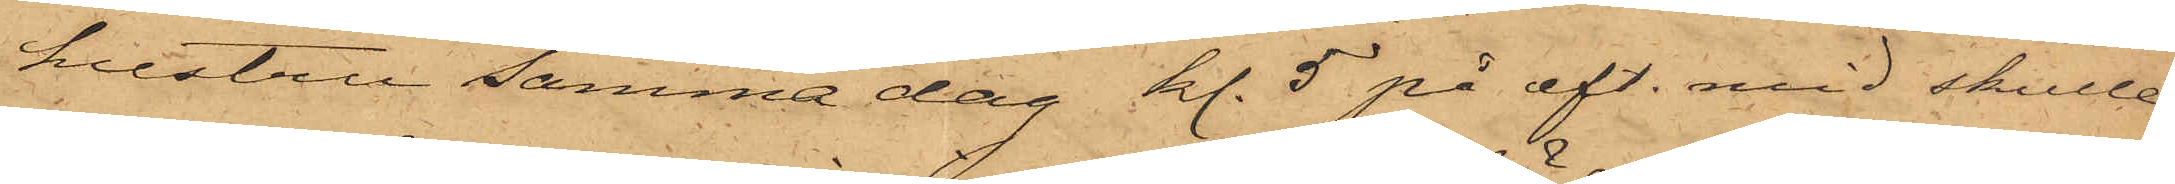hustru samma dag kl. 5 på eft. mid skulle
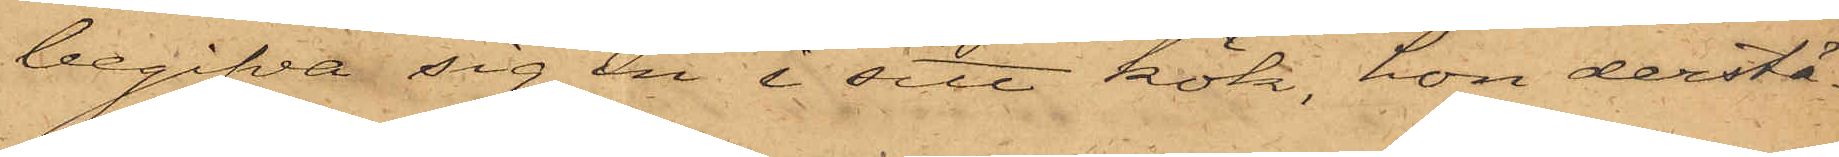begifva sig in i sitt kök, hon derstä¬
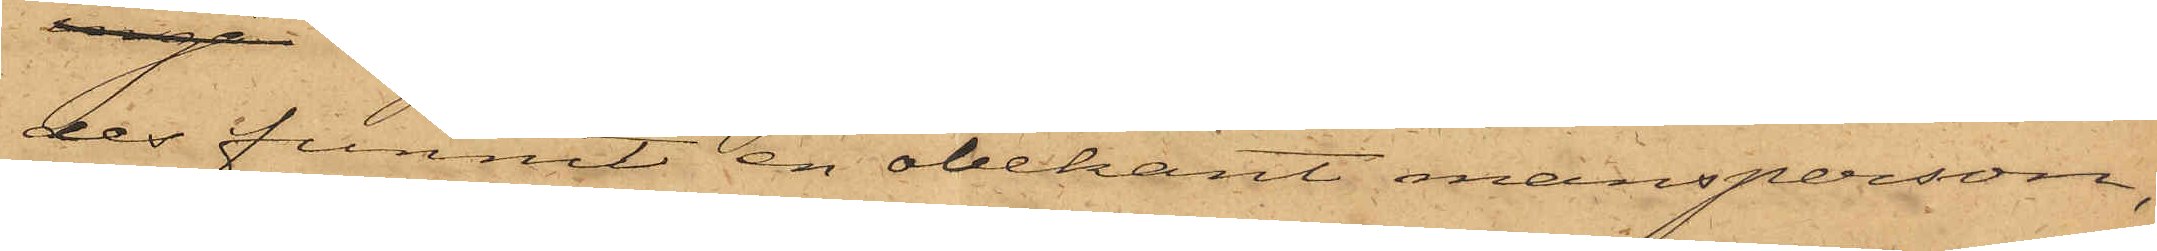des funnit en obekant mansperson,
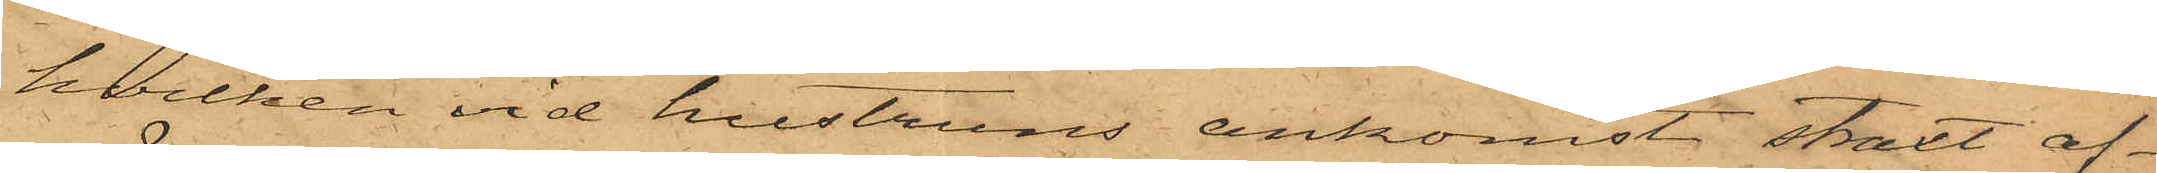hvilken vid hustruns ankomst straxt af¬
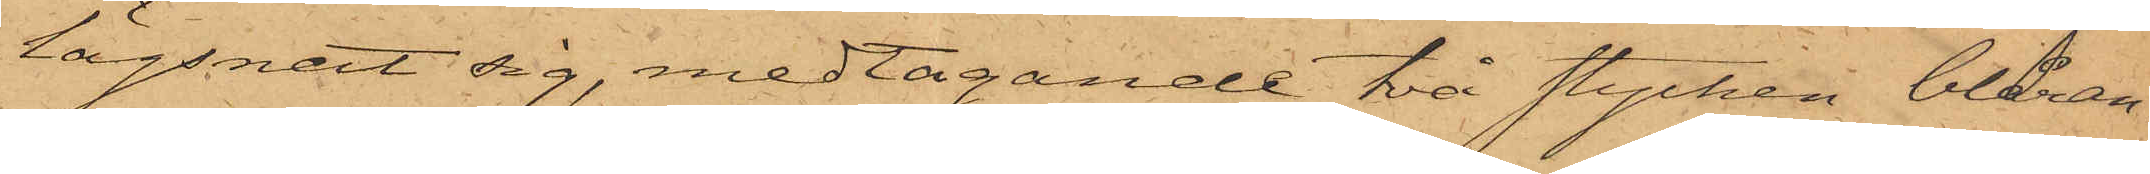lägsnat sig, medtagande två stycken blåran¬
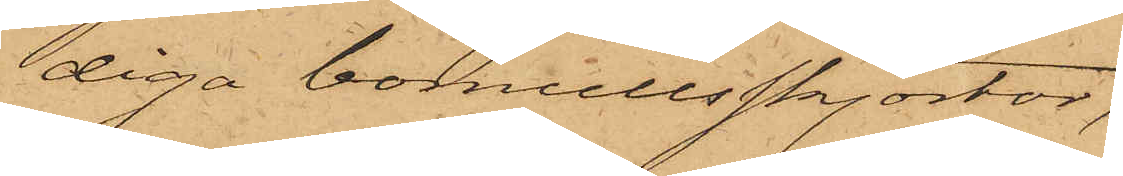diga bomullsskjortor,
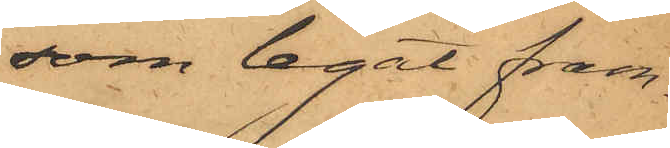 som legat fram¬
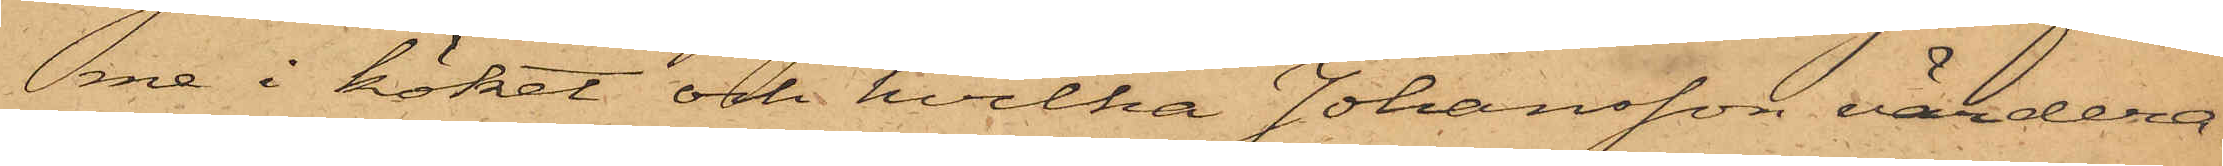me i köket och hvilka Johansson värdera¬
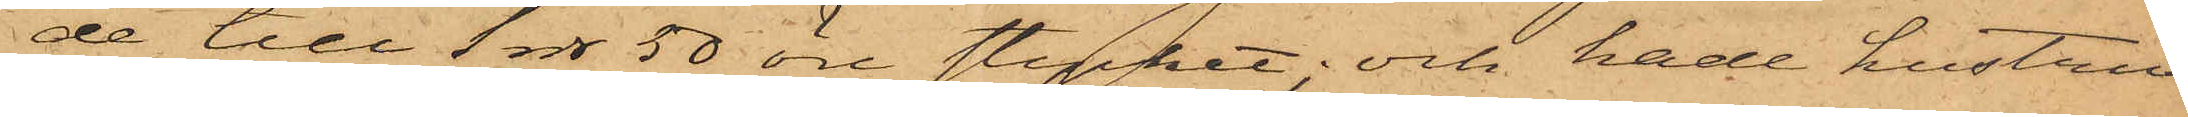de till 1 rdr 50 öre stycket; och hade hustru
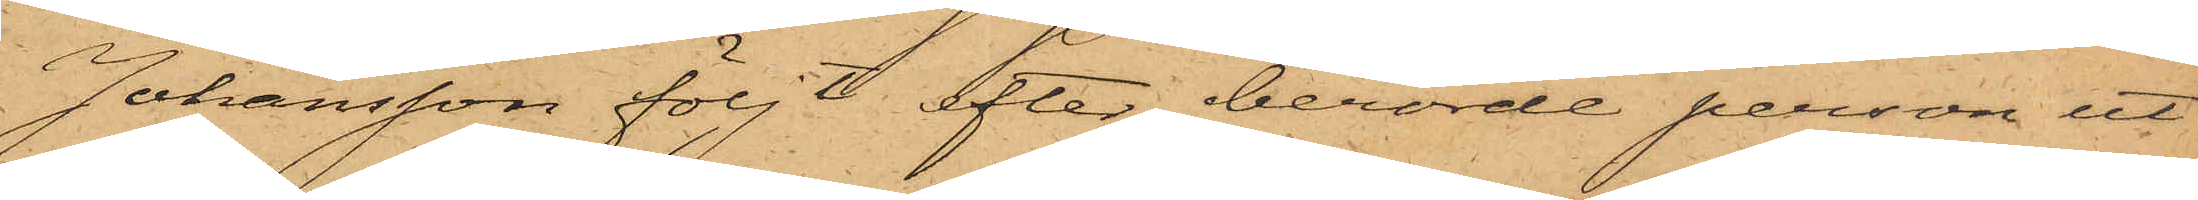Johansson följt efter berörde person ut
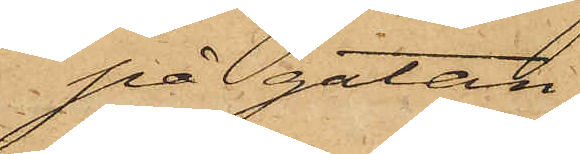på gatan,
